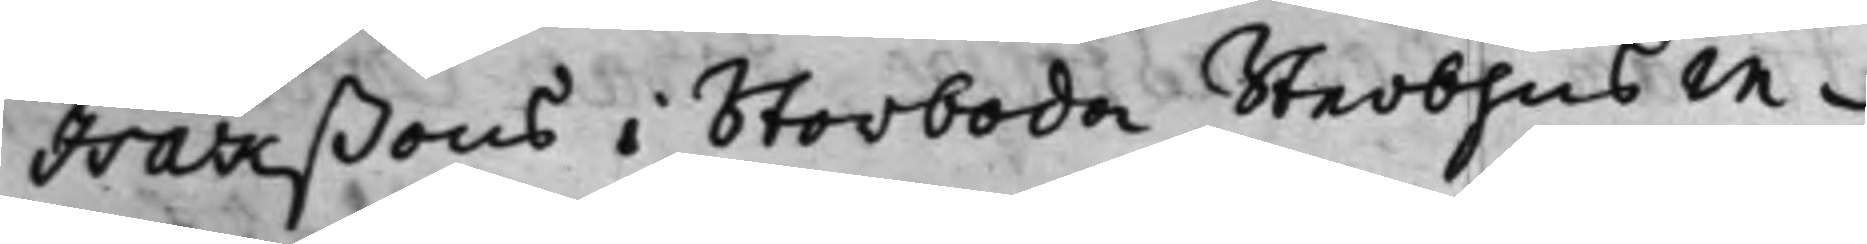Isakßons i Storboda Sterbhus in¬
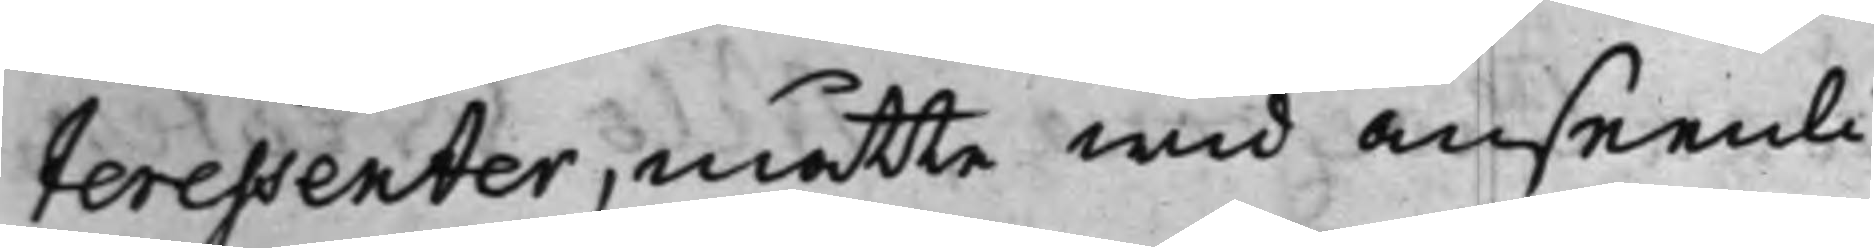teressenter, måtte wid anseenli¬
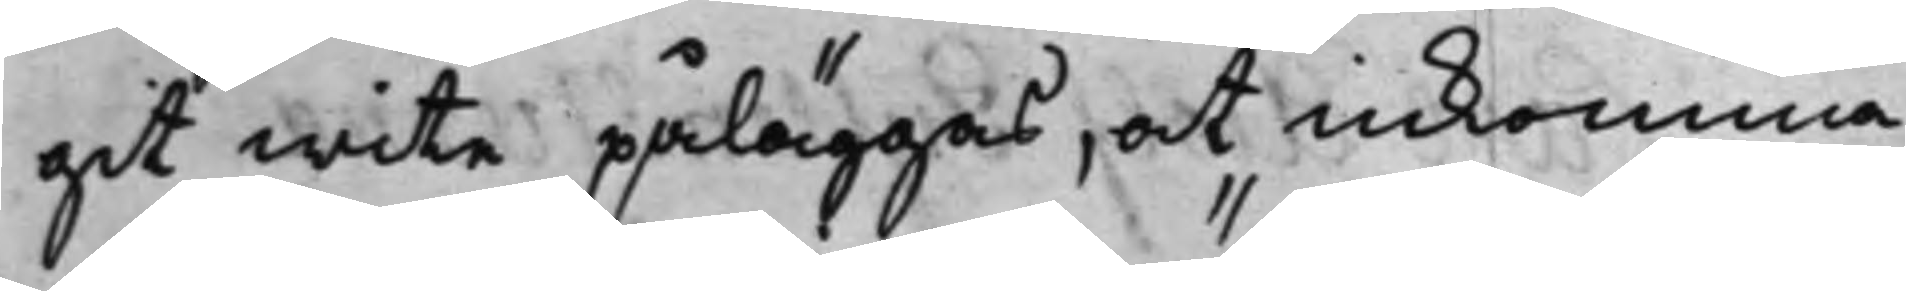git wite påläggas, at inkomma
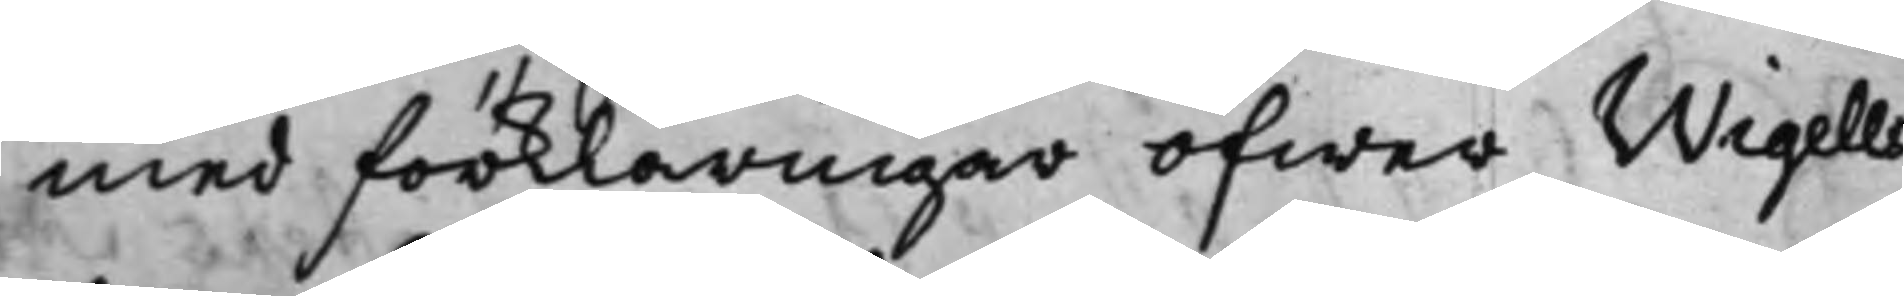med förklaringar öfwer Wigells
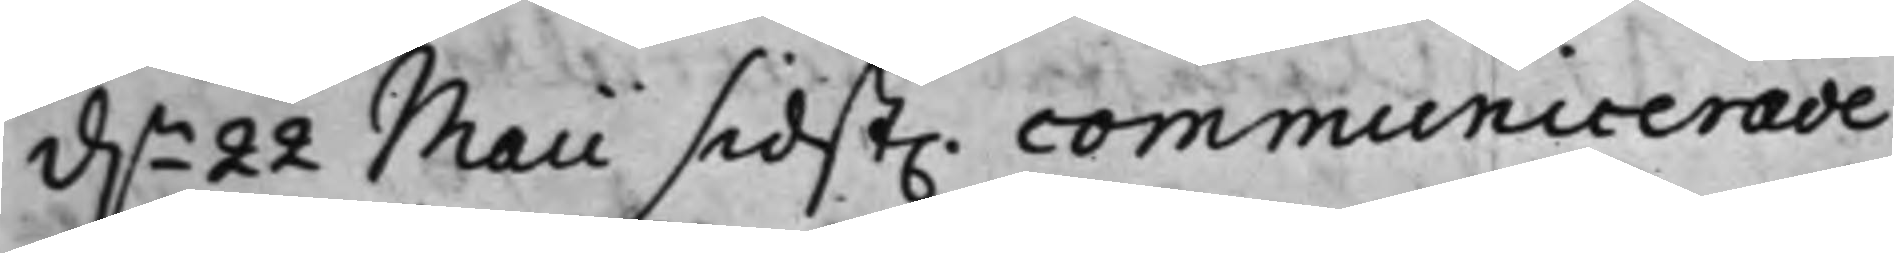d.n 22 Maii sidst. communicerade,
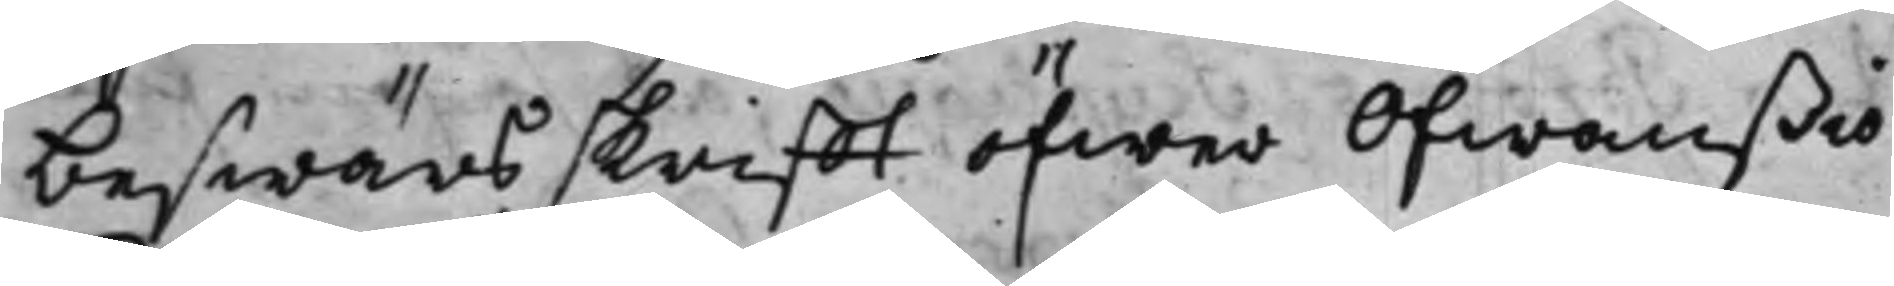beswärsskrifft öfwer Ofwanßiö
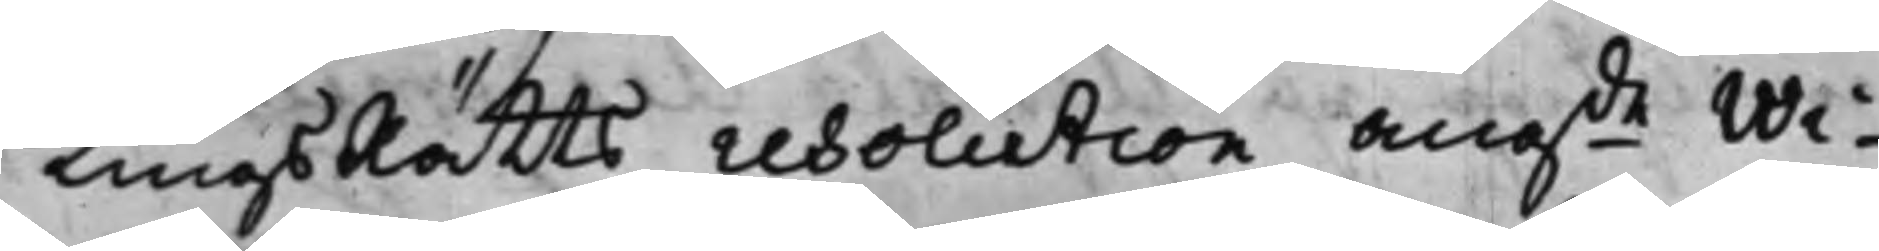TingsRätts resolution angde Wi¬
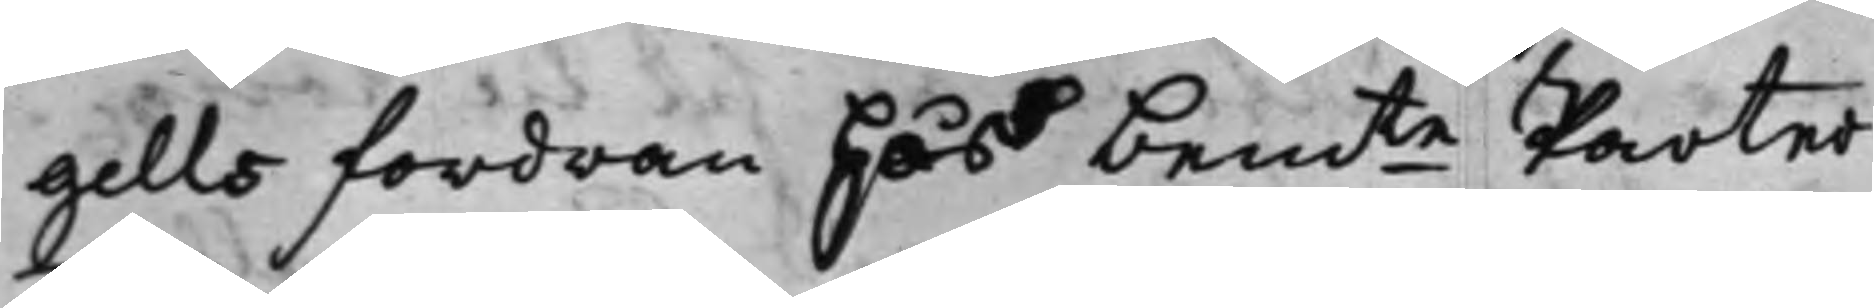gells fordran hos bemte Parter
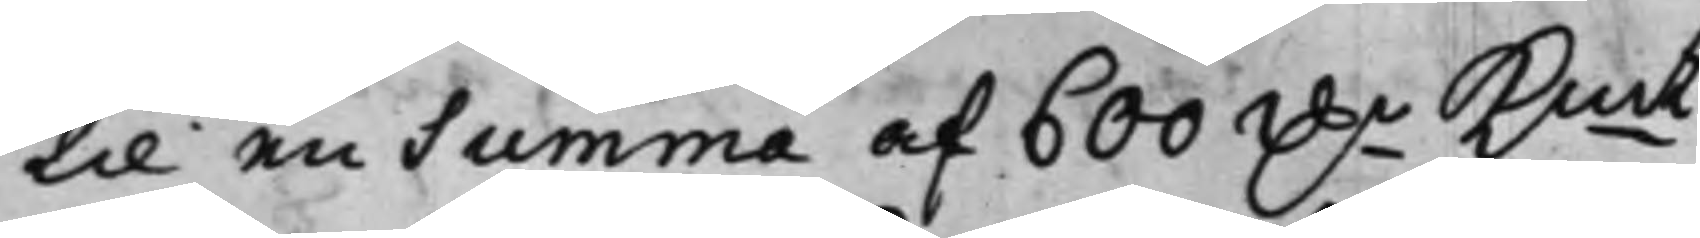til en summa af 600 D.r Kmt,
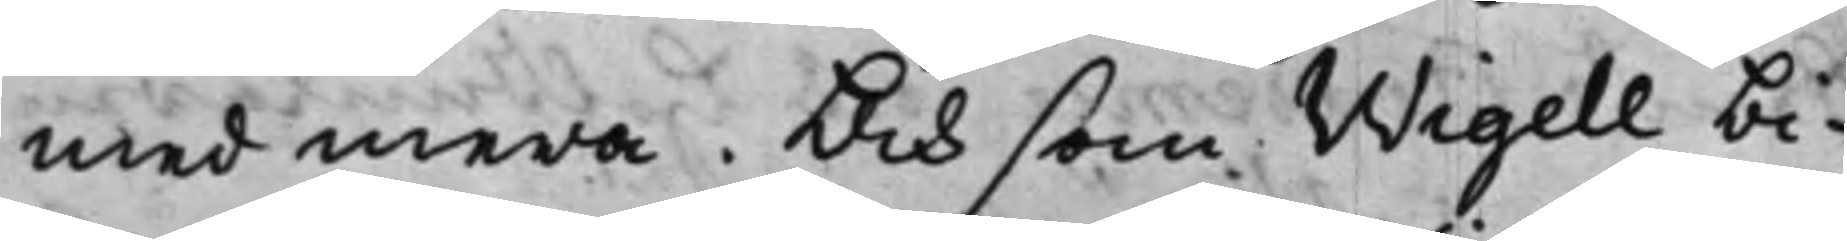med mera. Och som Wigell bi¬
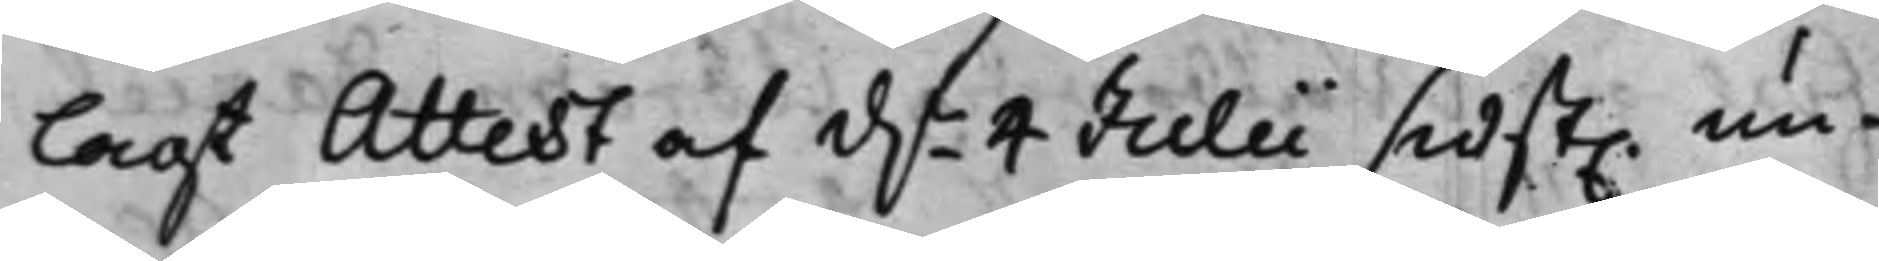lagt Attest af d. 4 Julii sidst. un¬
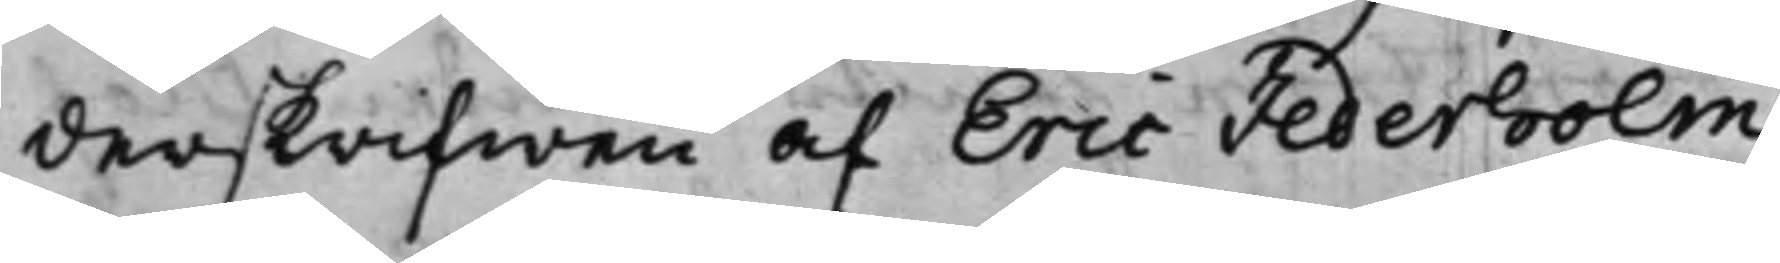derskrifwen af Eric Jederholm
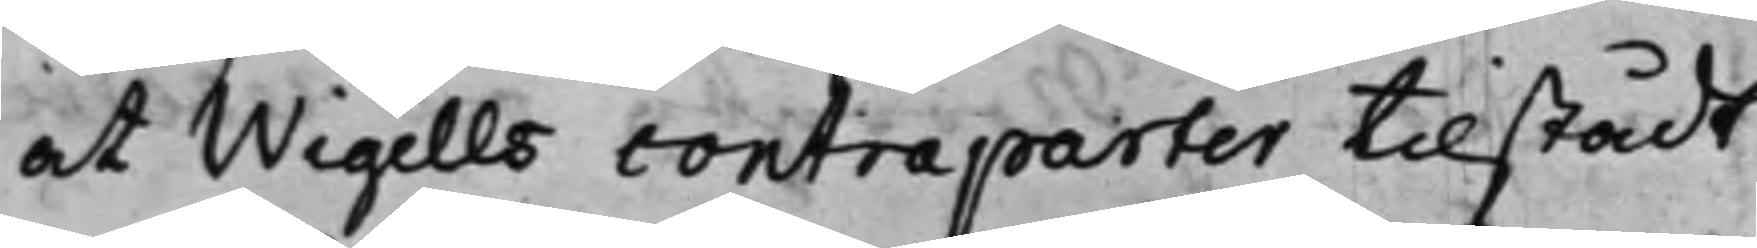at Wigells contraparter tillstådt
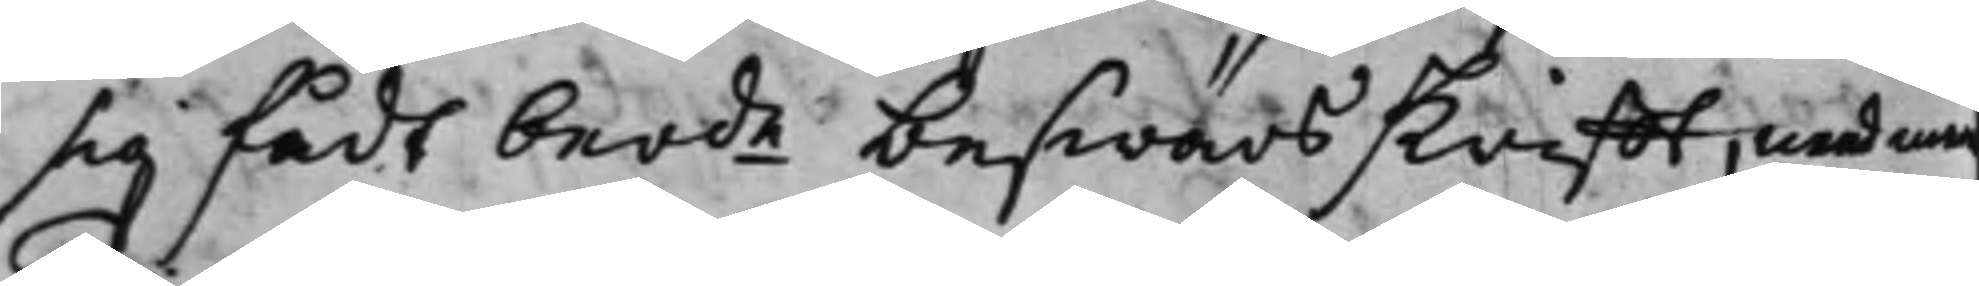sig fådt berde beswärsskrifft, med mera
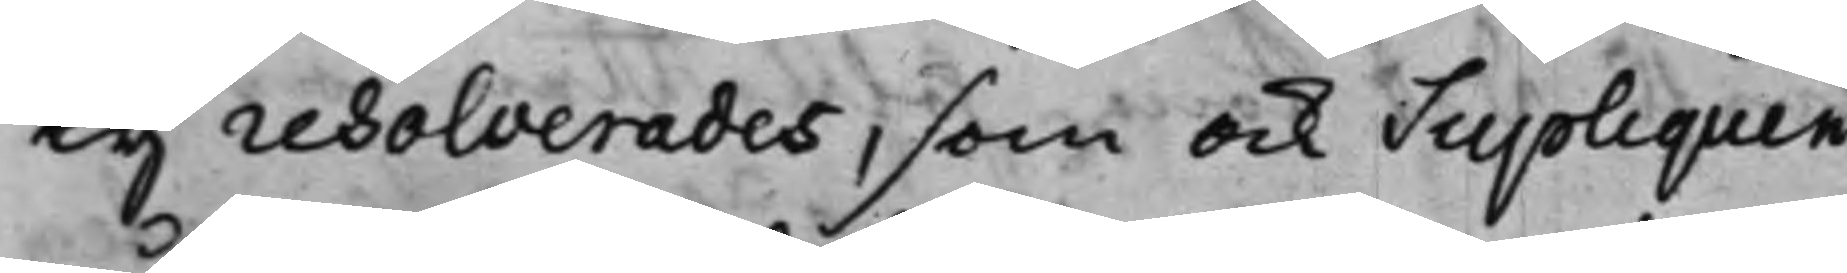Ty resolverades, som ock Supliquen
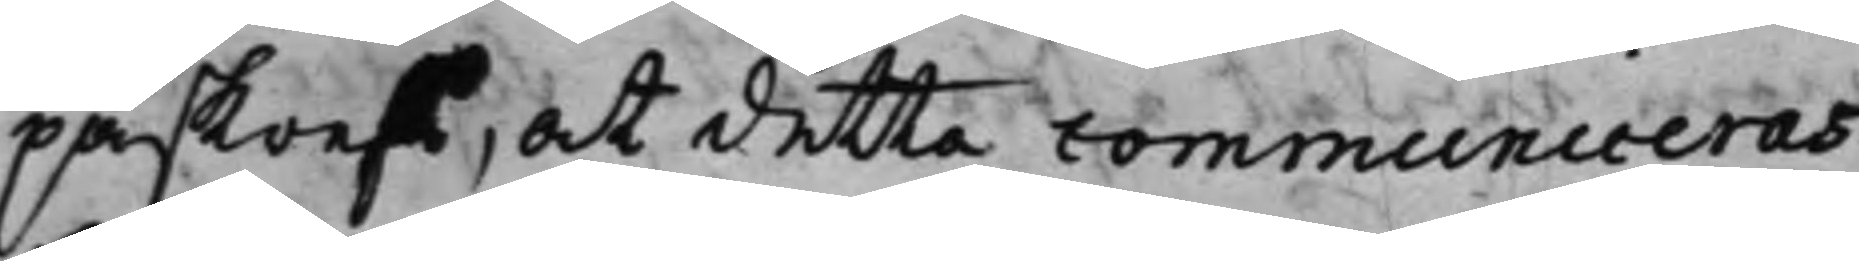påskrefs, at detta communiceras
